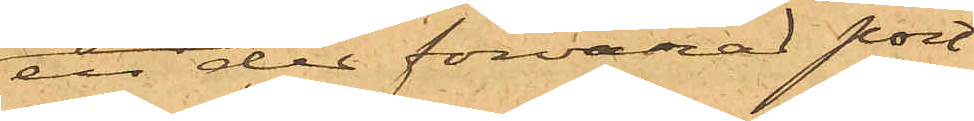en der förvarad port¬
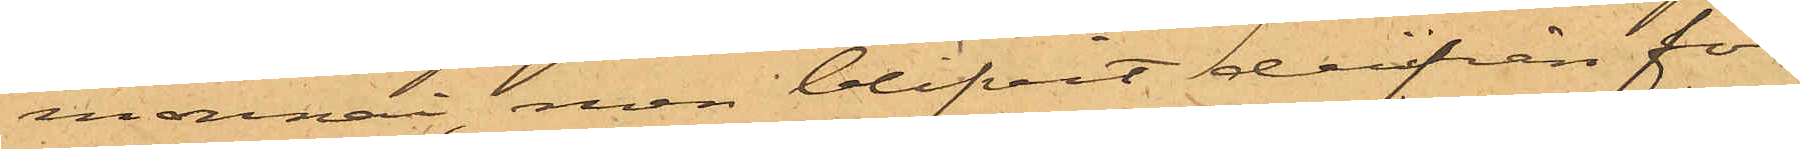monnai, men blifvit derifrån för¬
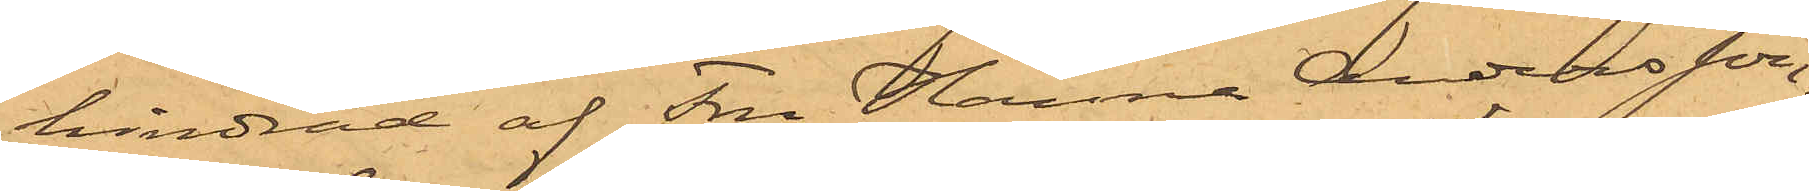hindrad af Fru Hanna Andersson,
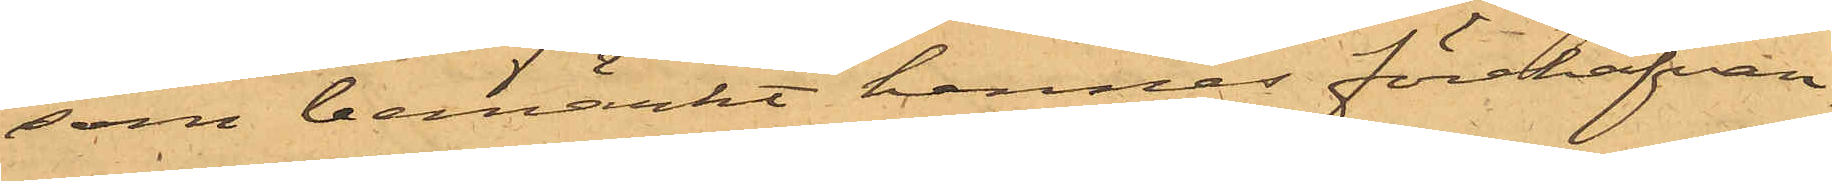som bemärkt hennes förehafvan¬
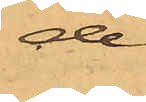de.
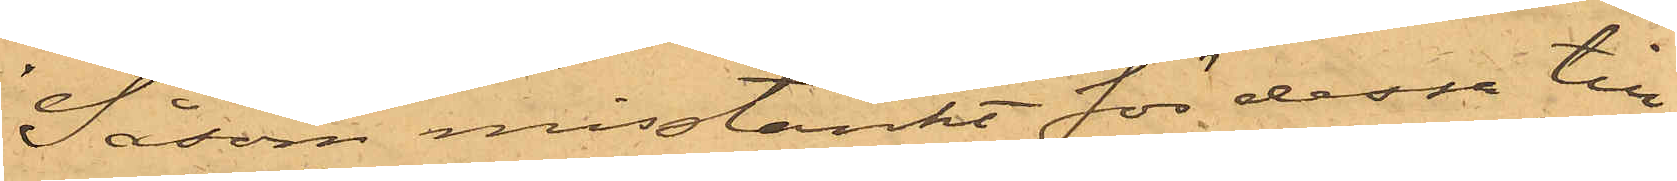Såsom misstänkt för dessa till¬
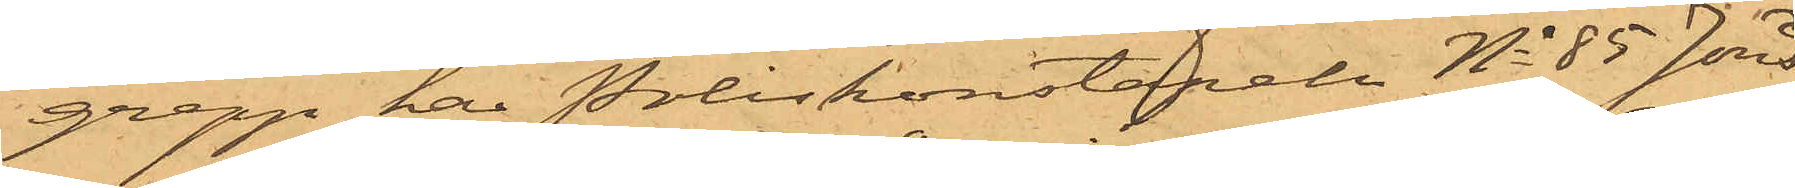grepp har Poliskonstapeln No 85 Jöns¬
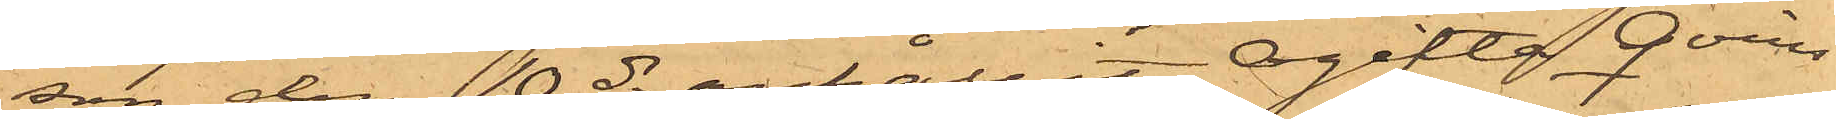son den 10 ds anhållit Ogifta Qvins¬
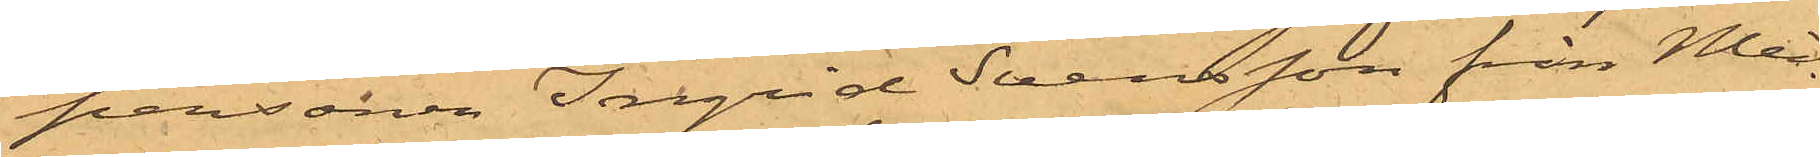personen Ingrid Svensson från Med¬
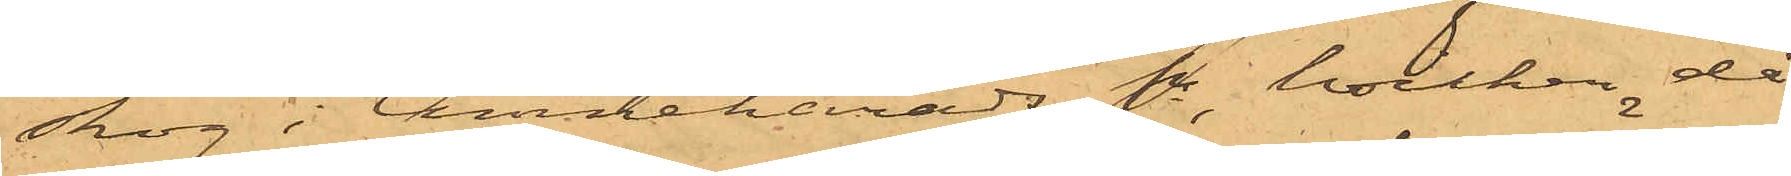skog i Amnehärads Sn, hvilken då
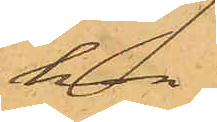hon
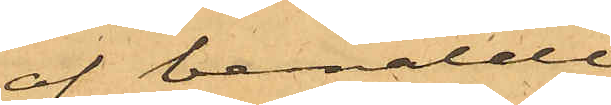af bemälde
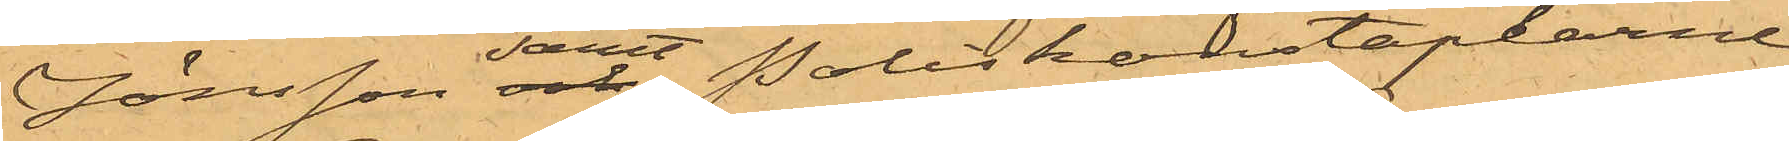Jönsson samt Poliskonstaplarne
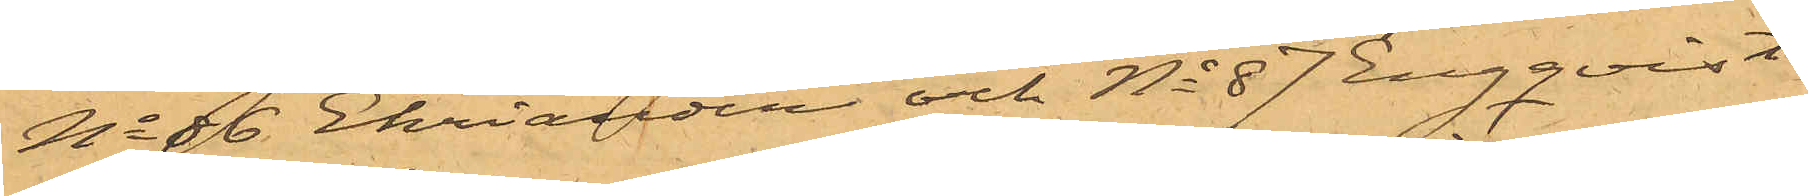No 86 Ehriander och No 87 Engqvist
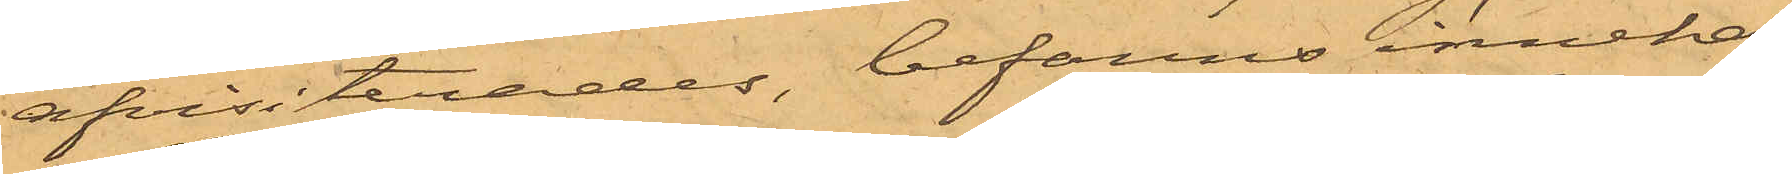afvisiterades, befanns innehaf¬
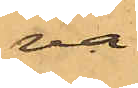va
